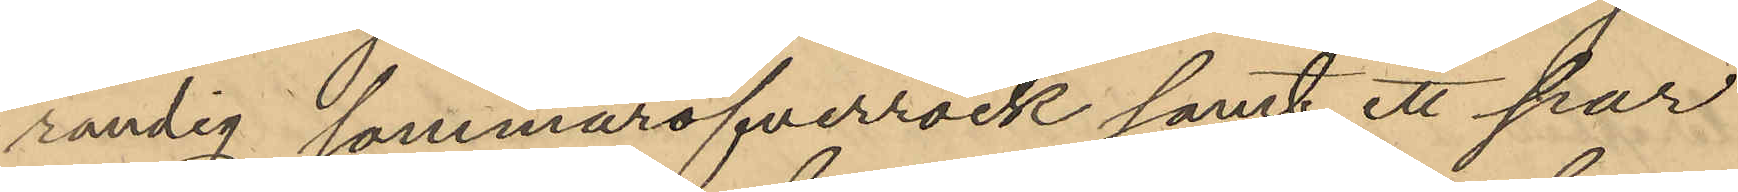randig sommaröfverrock samt ett par
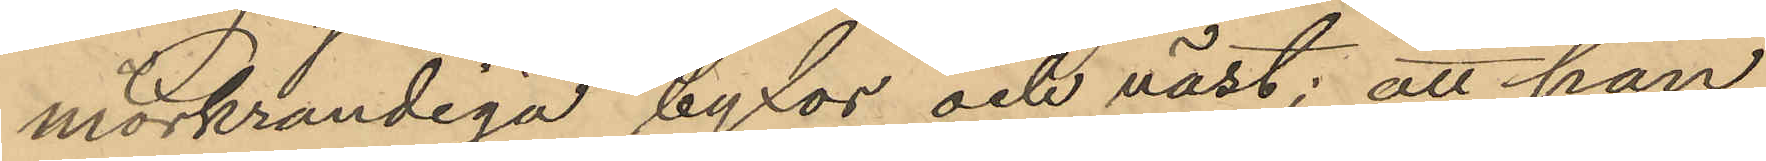mörkrandiga byxor och väst; att han
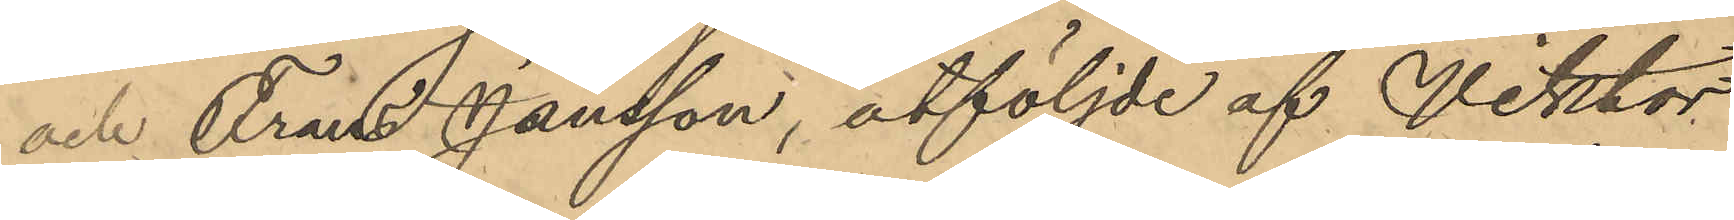och Frans Jansson, åtföljde af Viktor
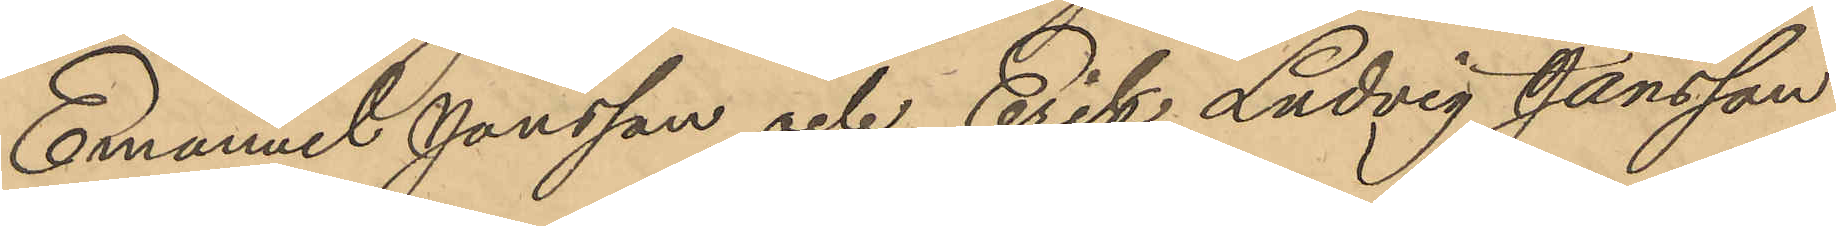Emanuel Jonsson och Erik Ludvig Jansson
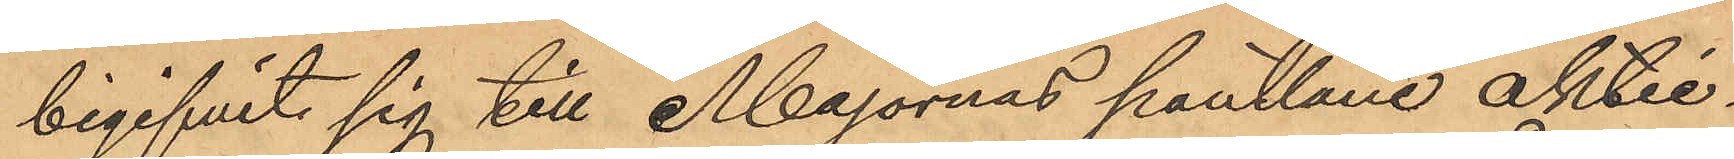begifvit sig till Majornas pantlåne aktie¬
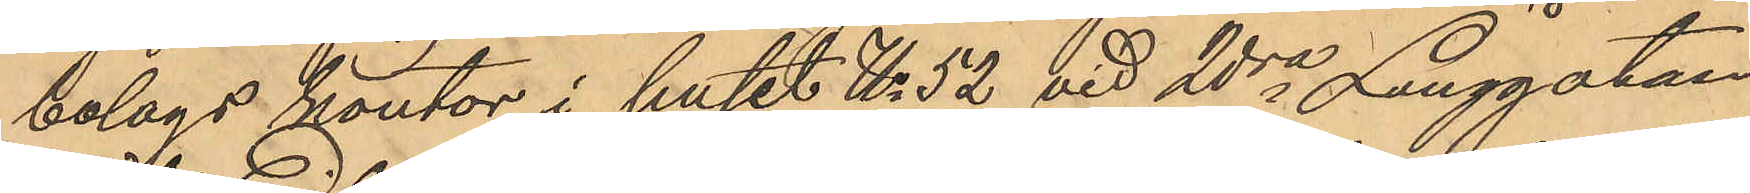bolags kontor i huset No 52 vid 2dra Långgatan
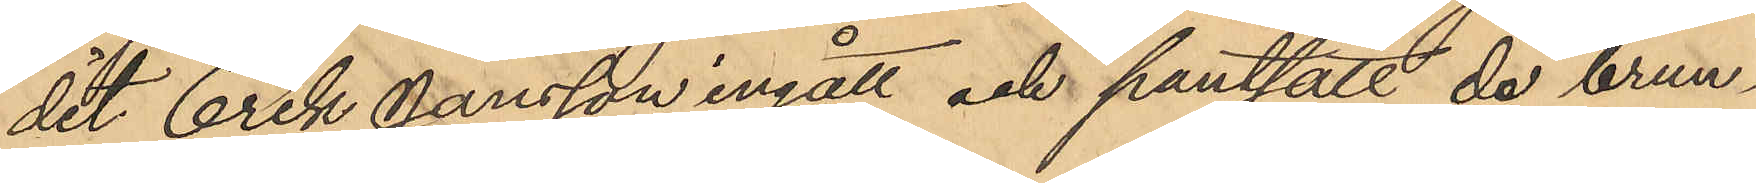det Erik Jansson ingått och pantsatt de brun¬
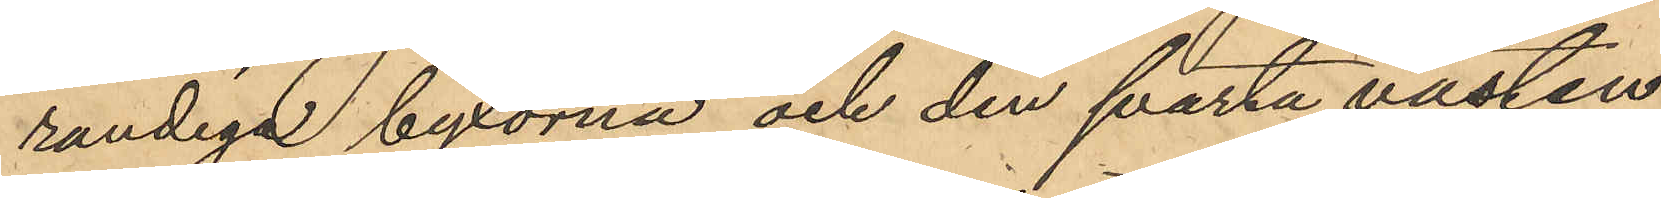randiga byxorna och den svarta västen
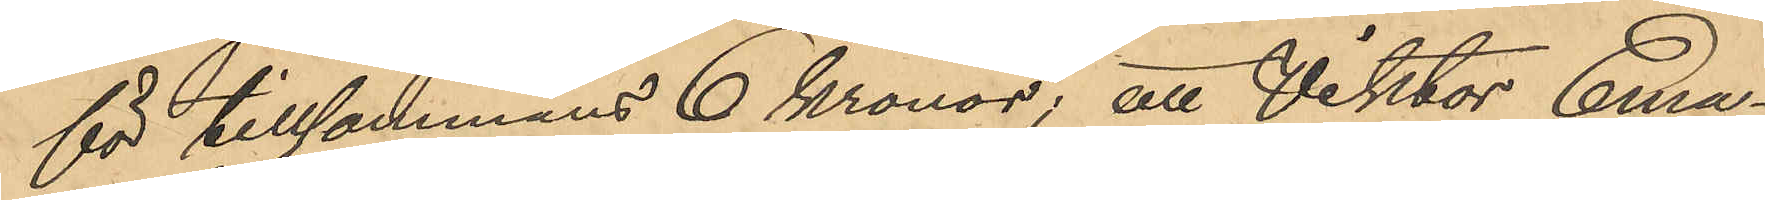för tillsammans 6 kronor; att Viktor Ema¬
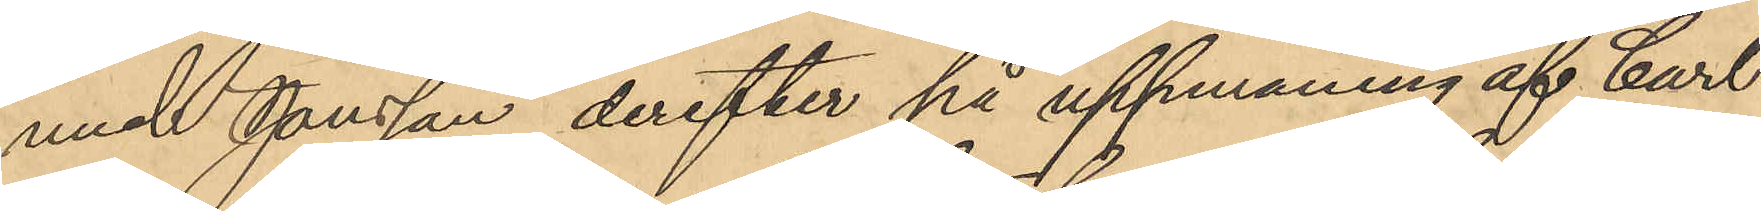nuel Jonsson derefter på uppmaning af Carl¬
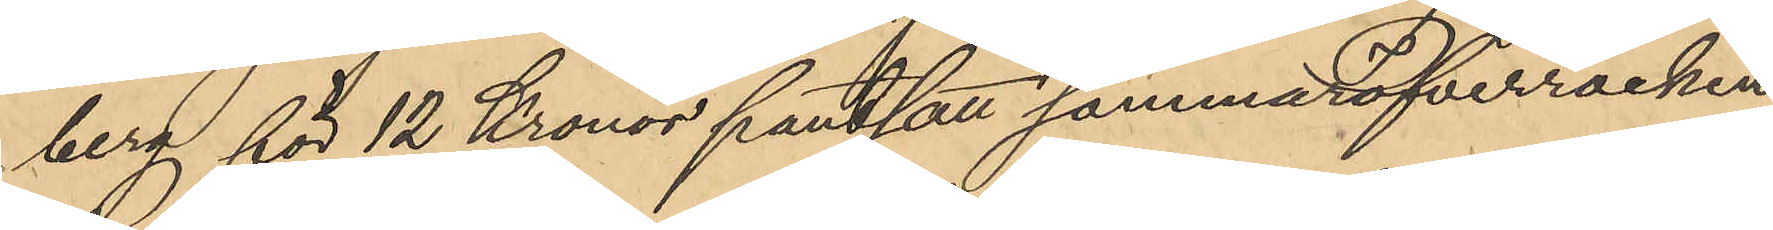berg för 12 Kronor pantsatt sommaröfverrocken
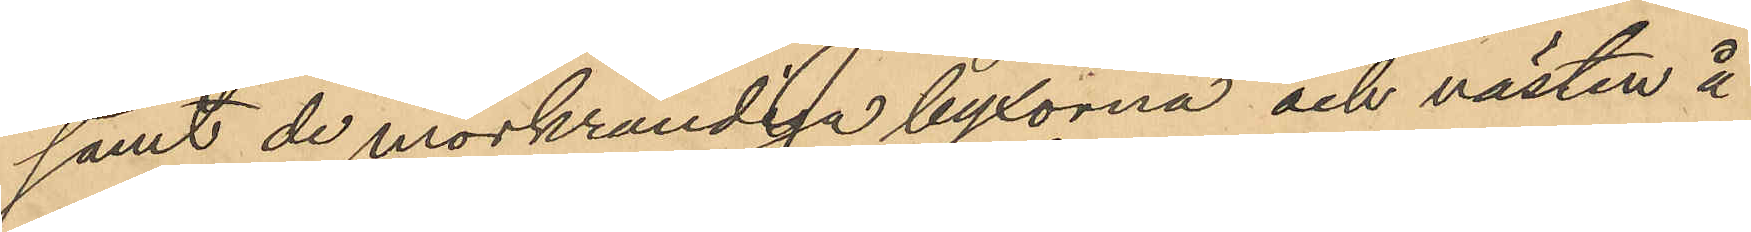samt de mörkrandiga byxorna och västen å
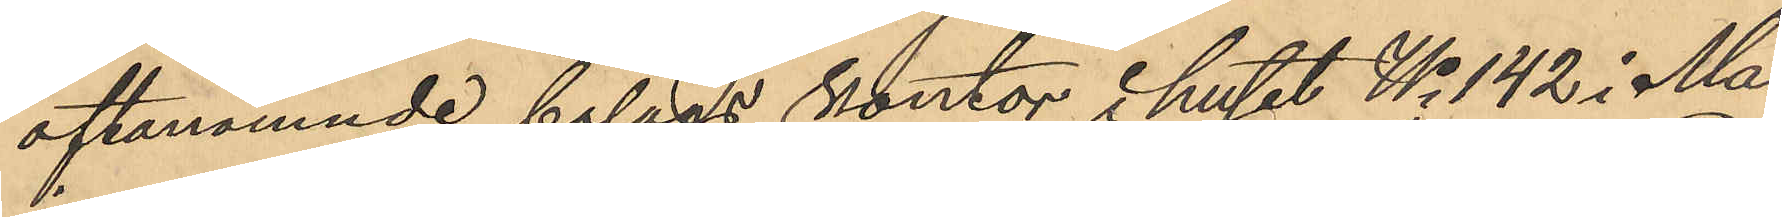oftanämnde bolags kontor i huset No 142 i Ma¬
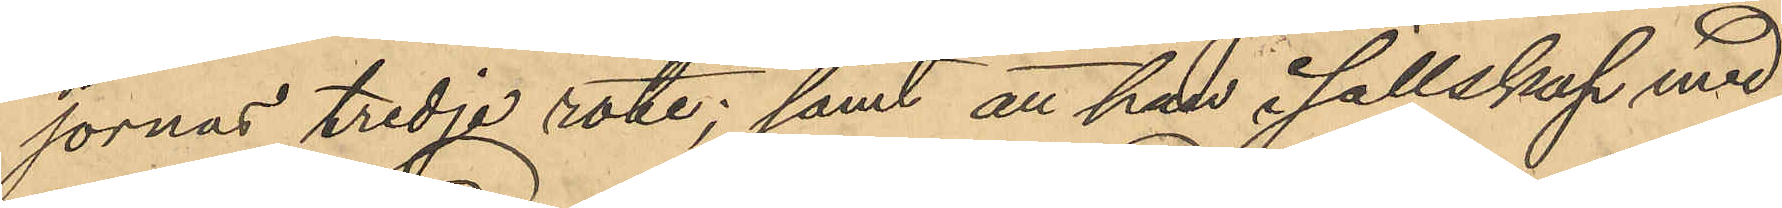jornas tredje rote; samt att han i sällskap med
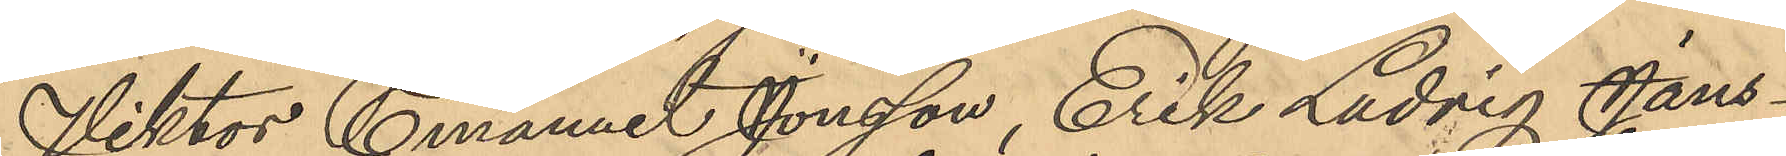Viktor Emanuel Jonsson, Erik Ludvig Jans¬
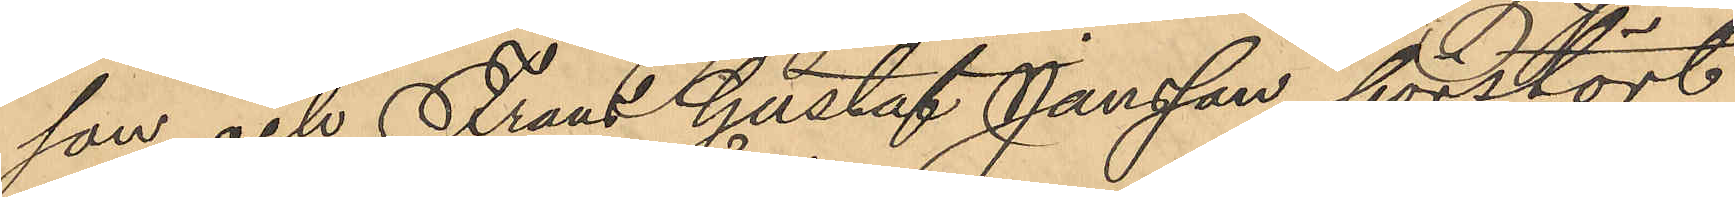son och Frans Gustaf Jansson förstört
